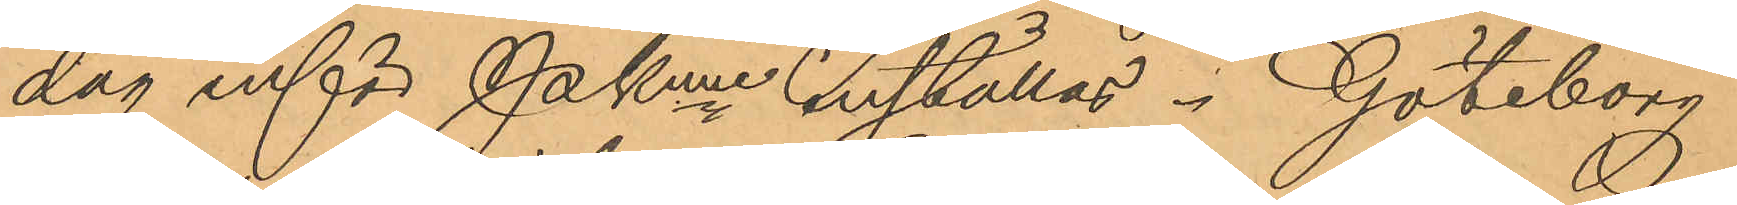dag inför Pkmn inställas. Göteborg
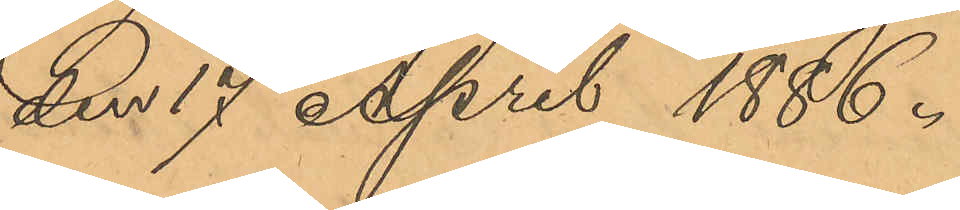der 17 April 1886.
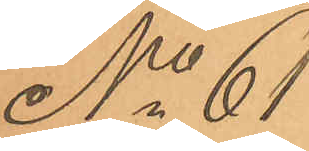No 61
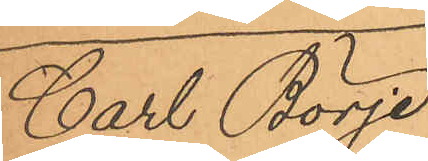Carl Börje
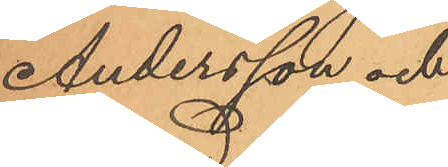Andersson och
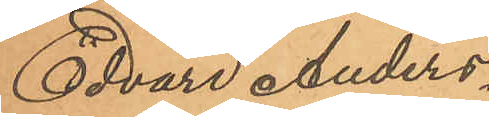Edvard Anders¬
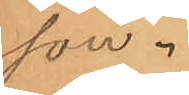son.
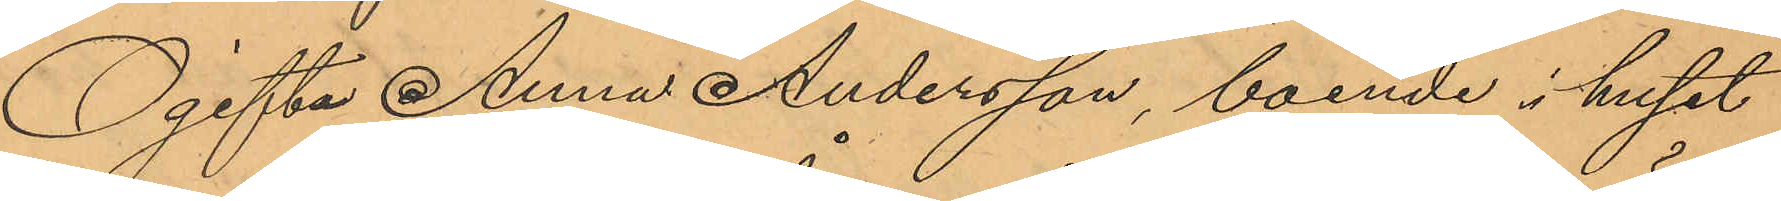Ogifta Anna Andersson, boende i huset
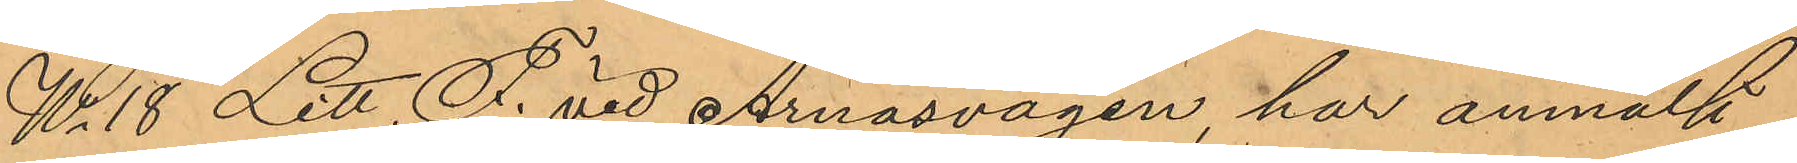No 18 Litt. F. vid Årnäsvägen, har anmält
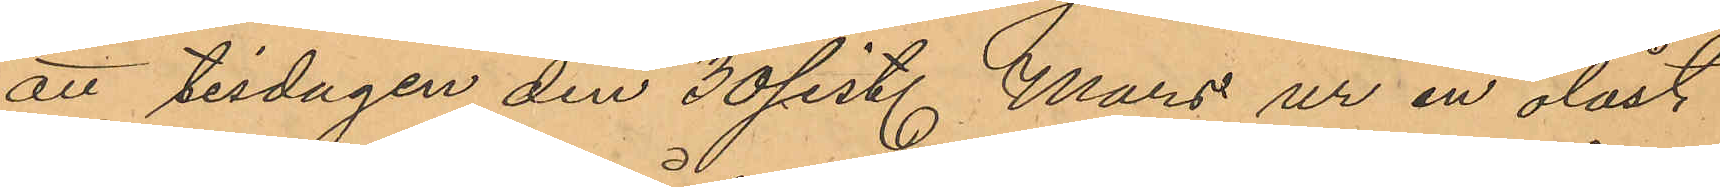att tisdagen den 30 sist. Mars ur en olåst
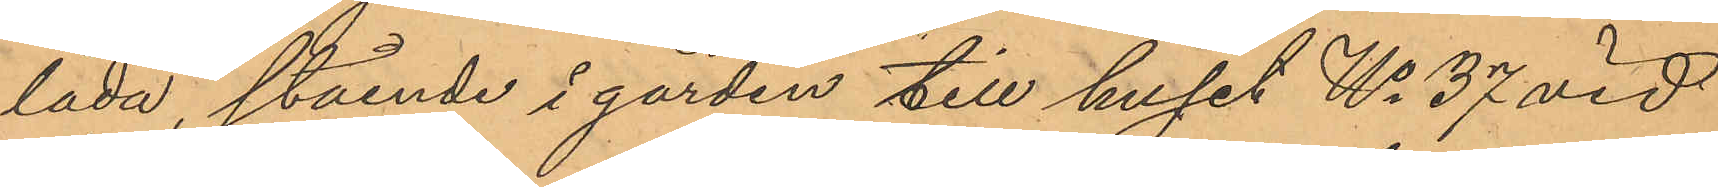låda, stående i gården till huset No 37 vid
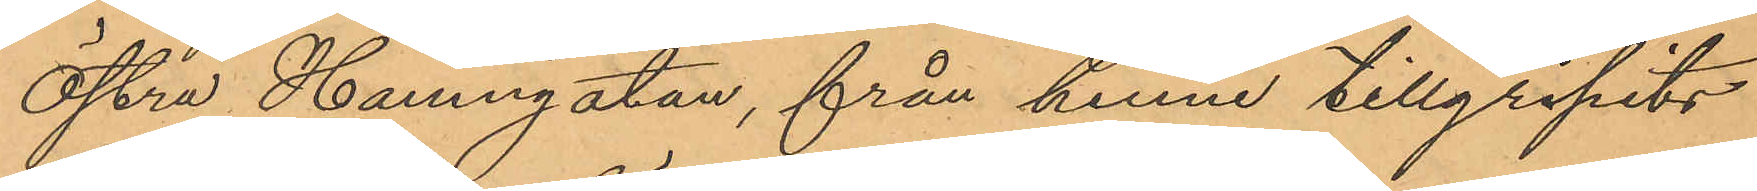Östra Hamngatan, från henne tillgripits
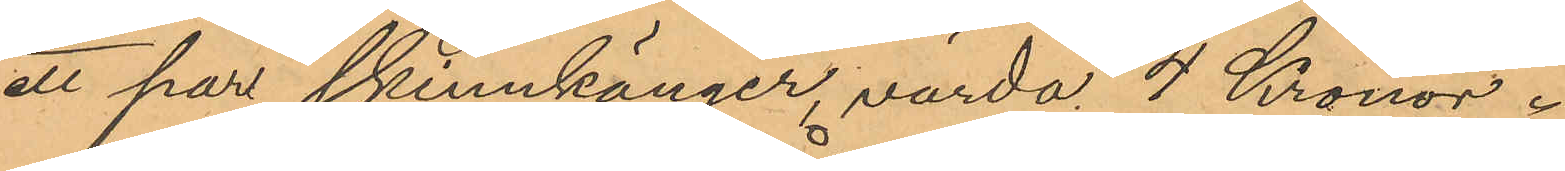ett par skinnkänger, värda 4 Kronor.
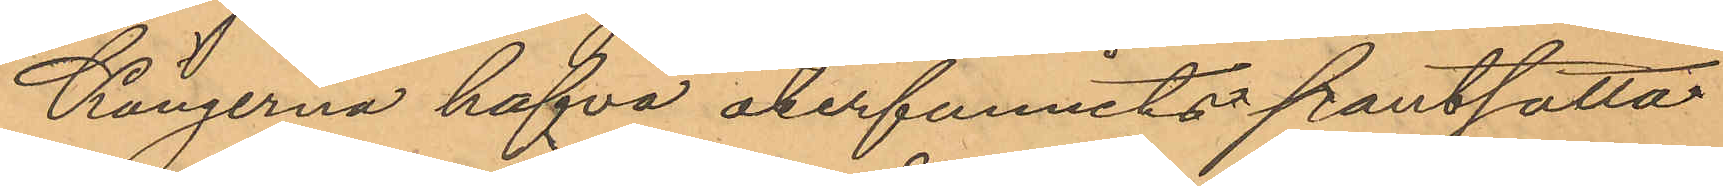Kängerna hafva återfunnits pantsatta
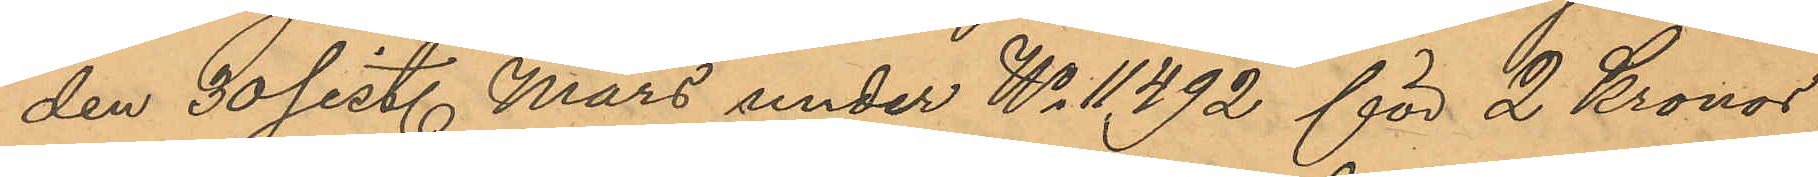den 30 sist. Mars under No 11,492 för 2 Kronor
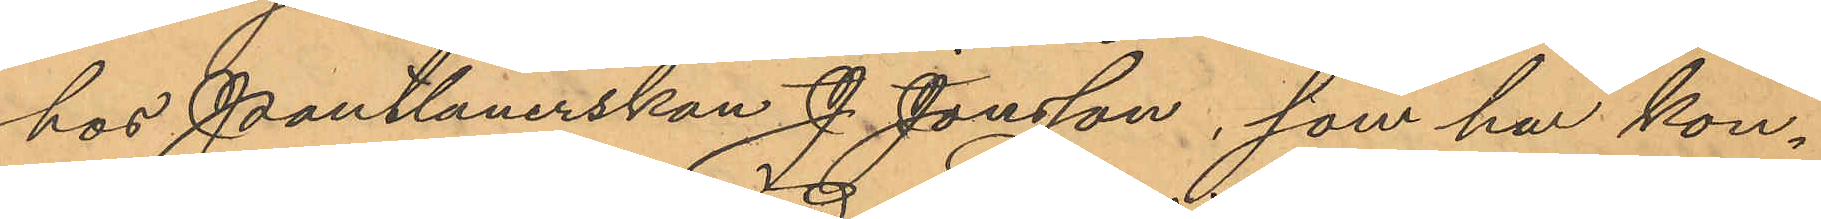hos Pantlånerskan J. Jonsson, som har kon¬
